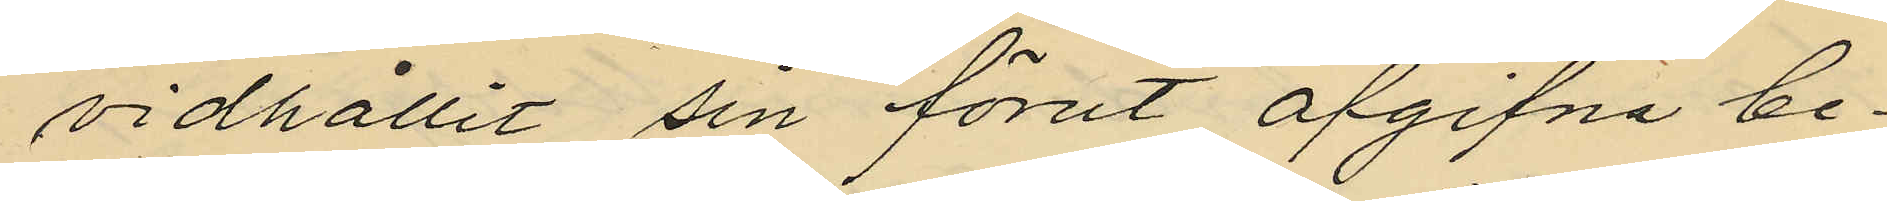vidhållit sin förut afgifna be¬
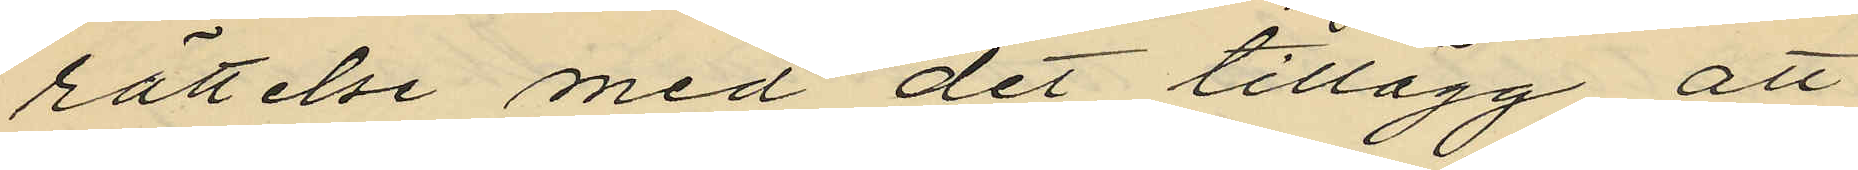rättelse med det tillägg att
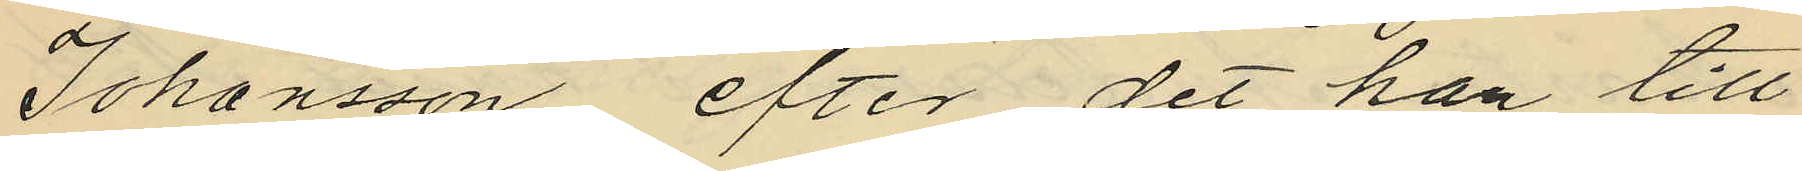Johansson, efter det han till
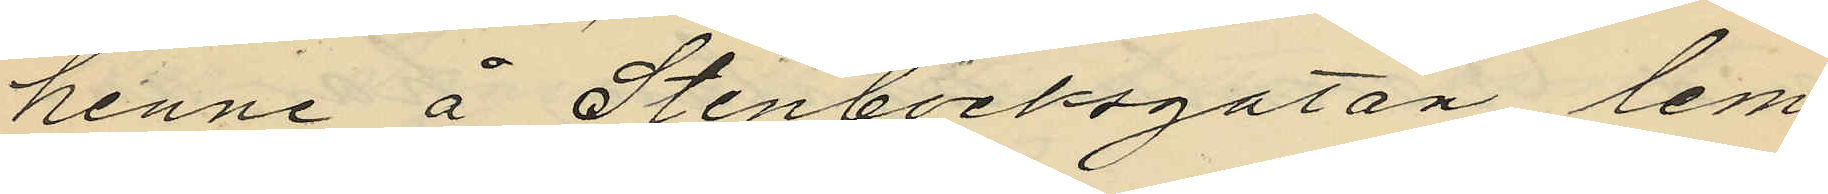henne å Stenbocksgatan lem¬
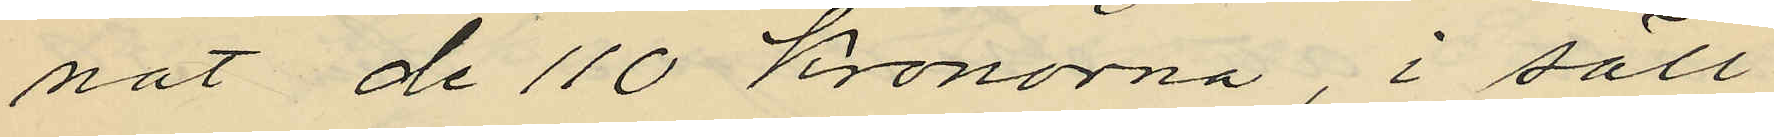nat de 110 Kronorna, i säll¬
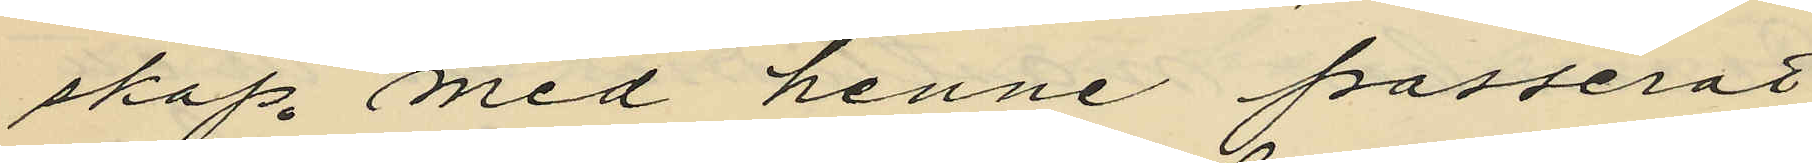skap med henne passerat
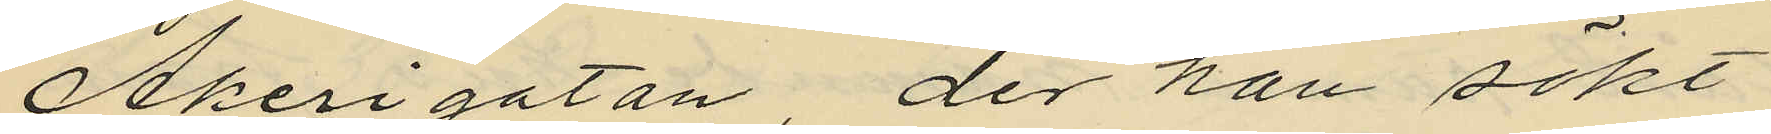Åkerigatan, der han sökt
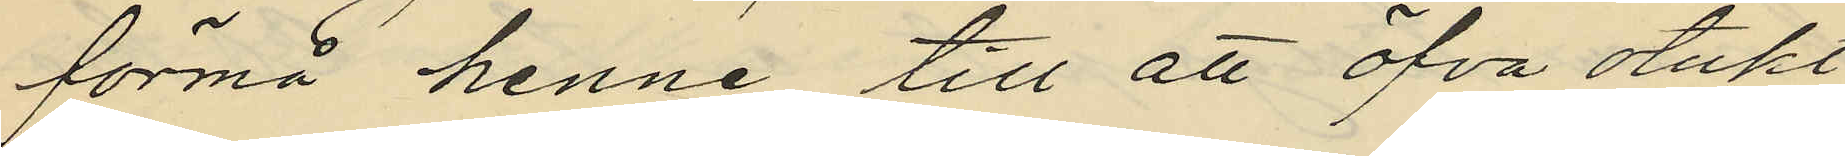förmå henne till att öfva otukt
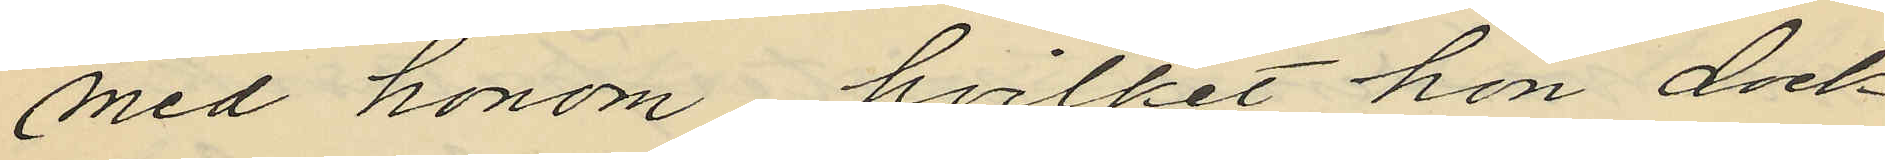med honom, hvilket hon dock
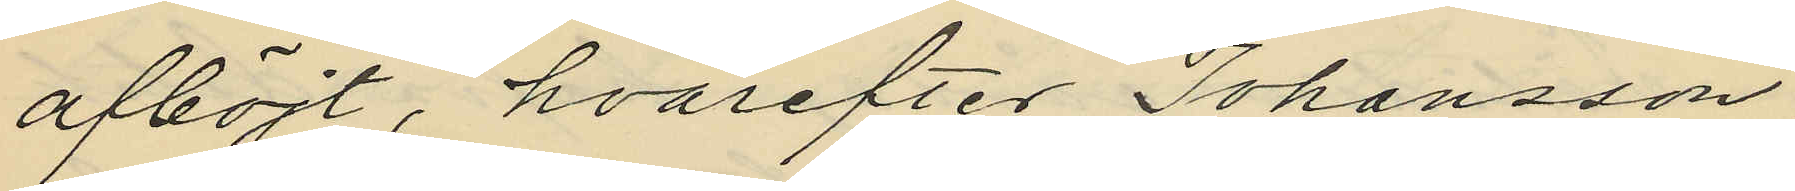afböjt, hvarefter Johansson
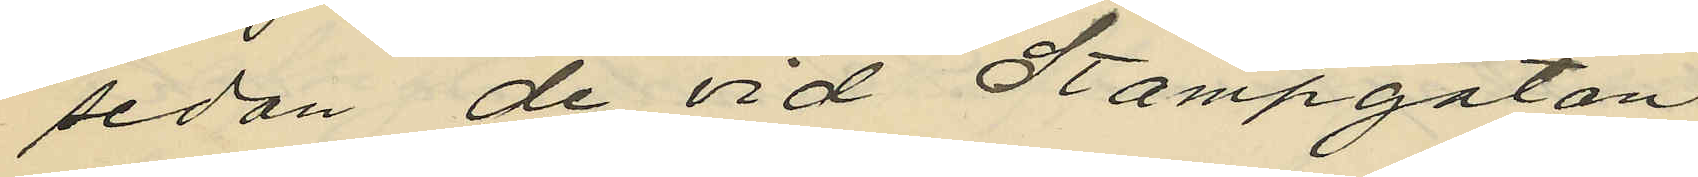sedan de vid Stampgatan
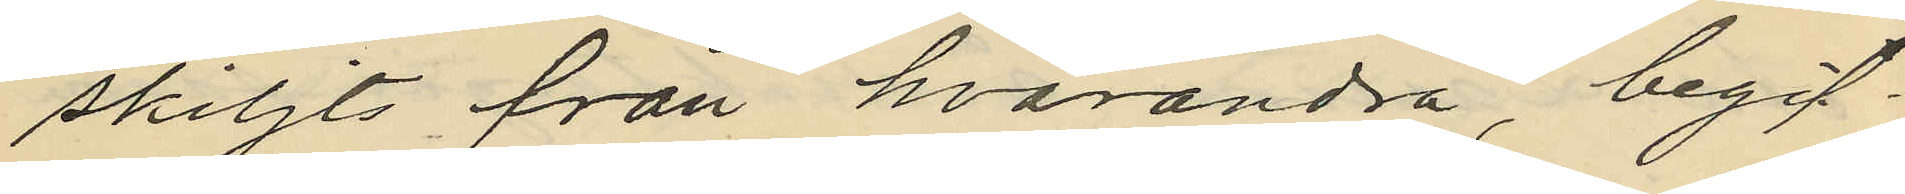skiljts från hvarandra, begif¬
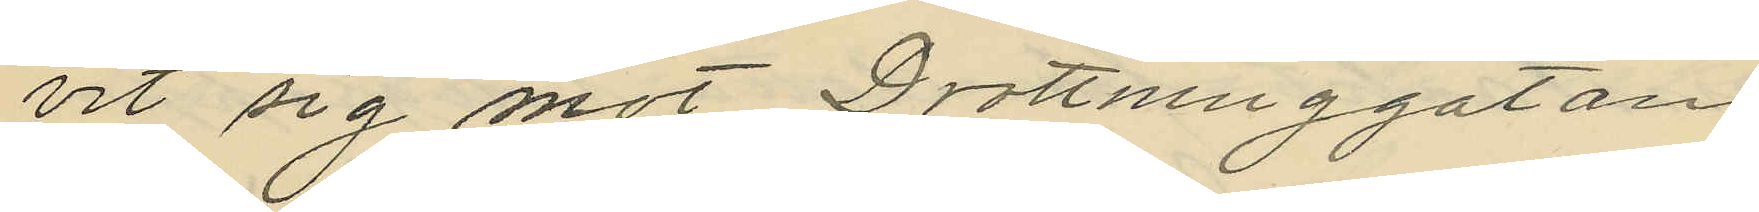vit sig mot Drottninggatan
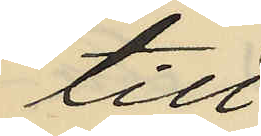till.
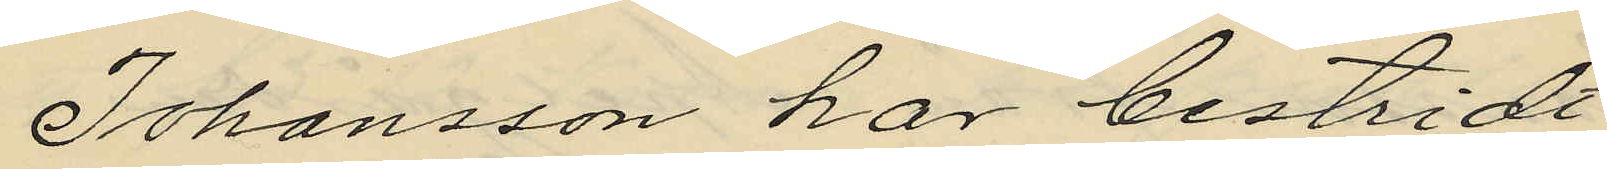Johansson har bestridt
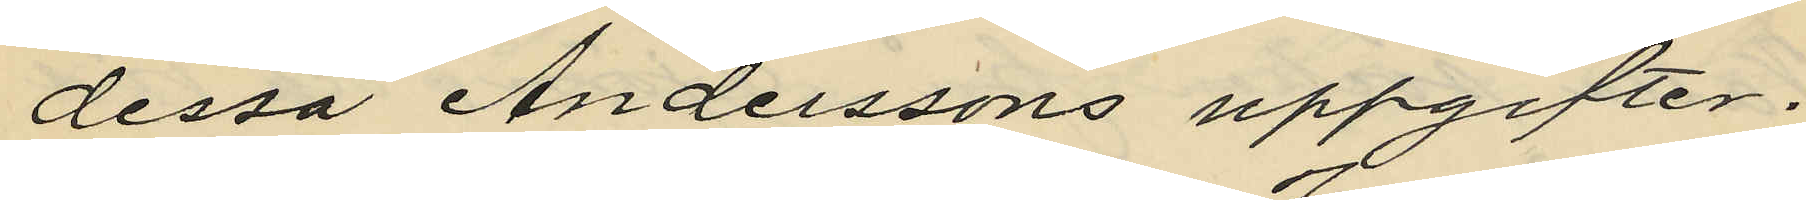dessa Anderssons uppgifter.
